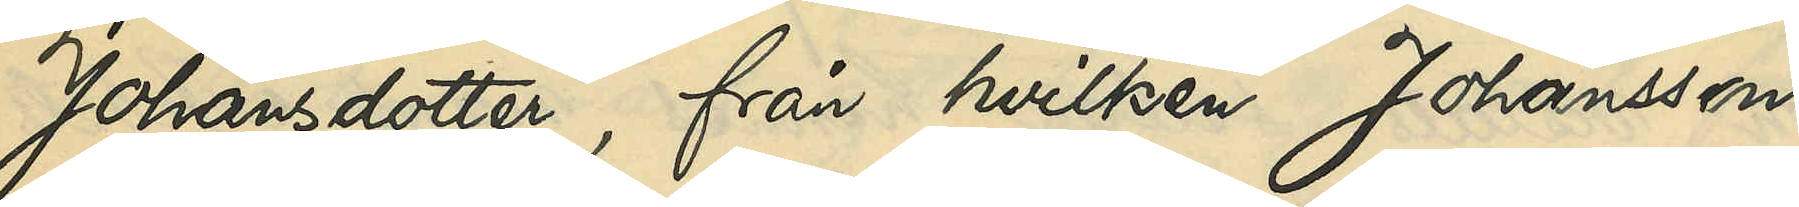Johansdotter, från hvilken Johansson
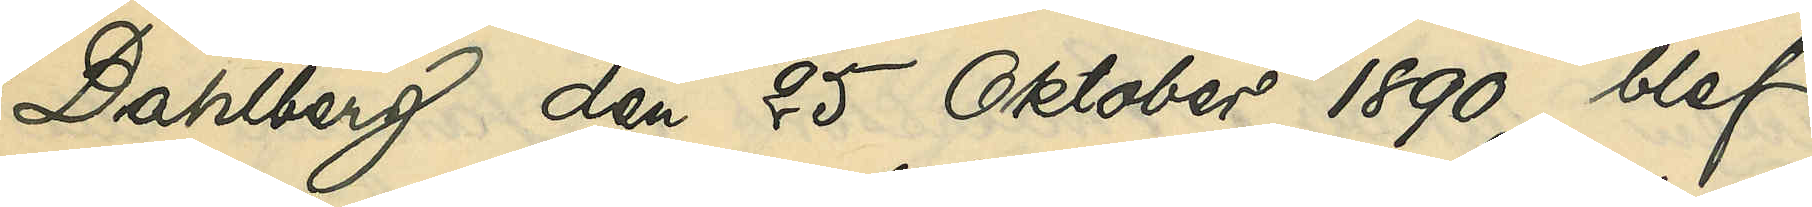Dahlberg den 25 Oktober 1890 blef
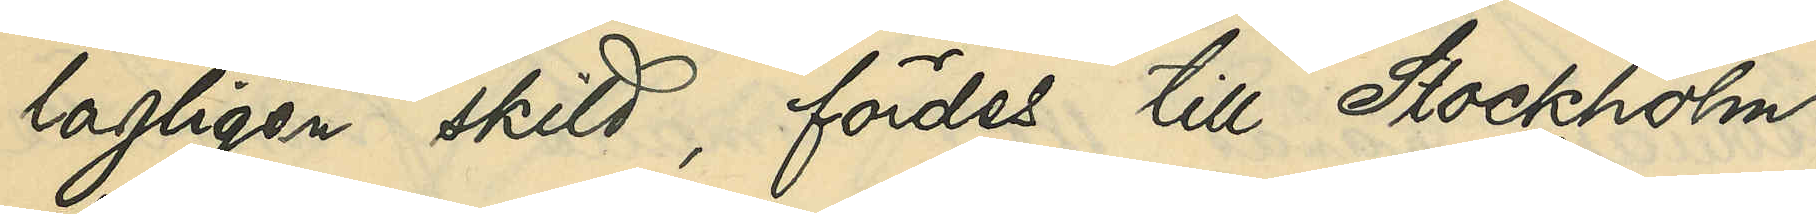lagligen skild, fördes till Stockholm,
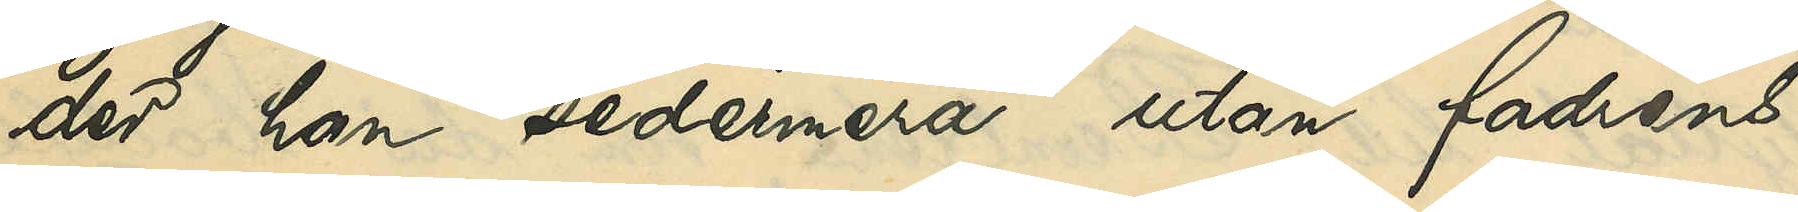der han sedermera utan faderns
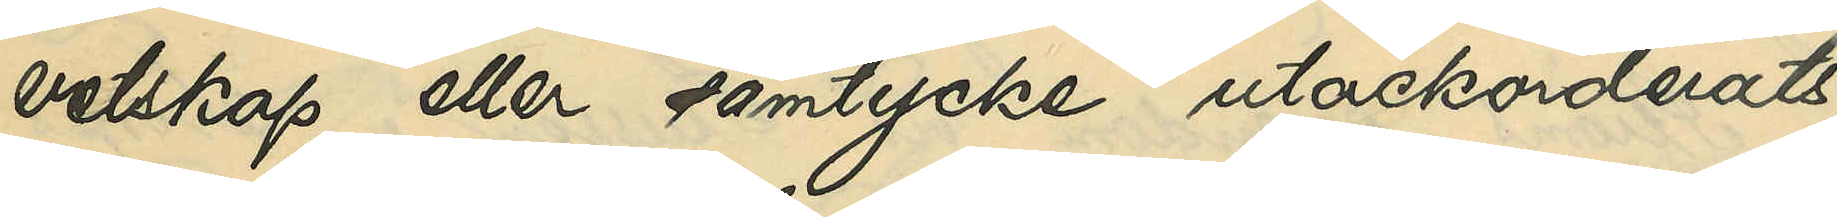vetskap eller samtycke utackorderats
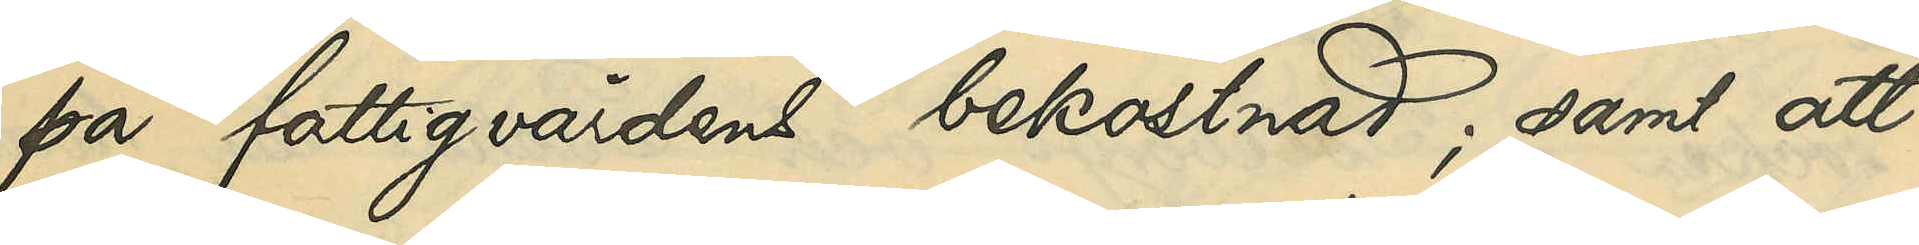på fattigvårdens bekostnad; samt att
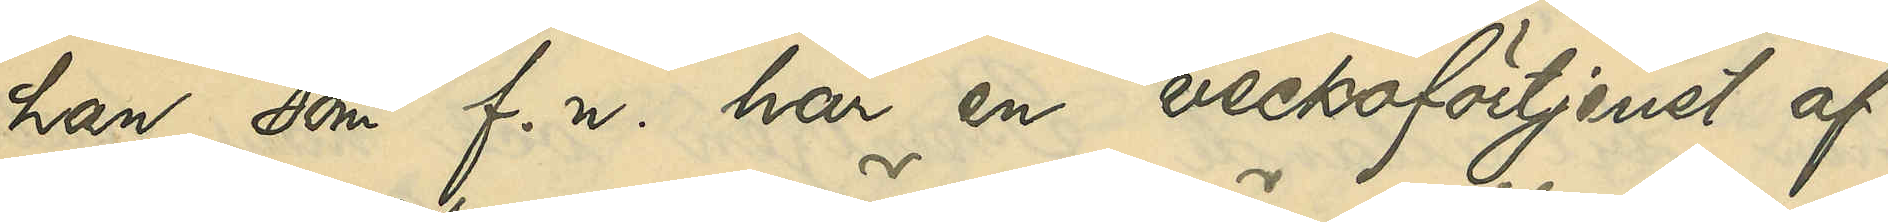han, som f. n. har en veckoförtjenst af
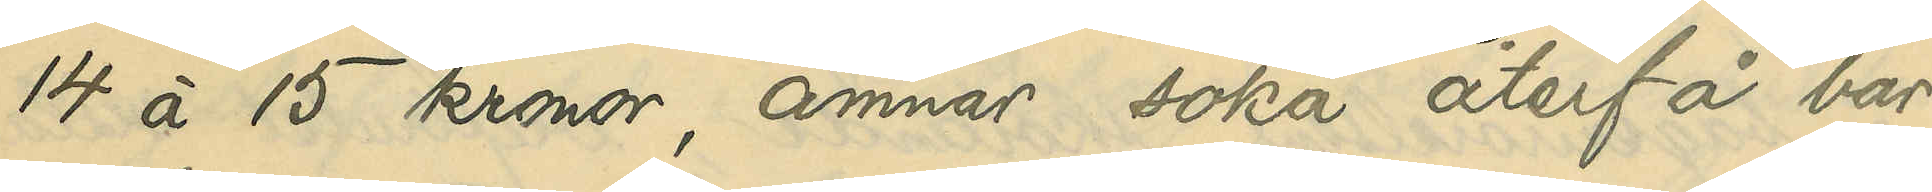14 á 15 kronor. ämnar söka återfå bar¬
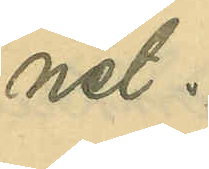net.
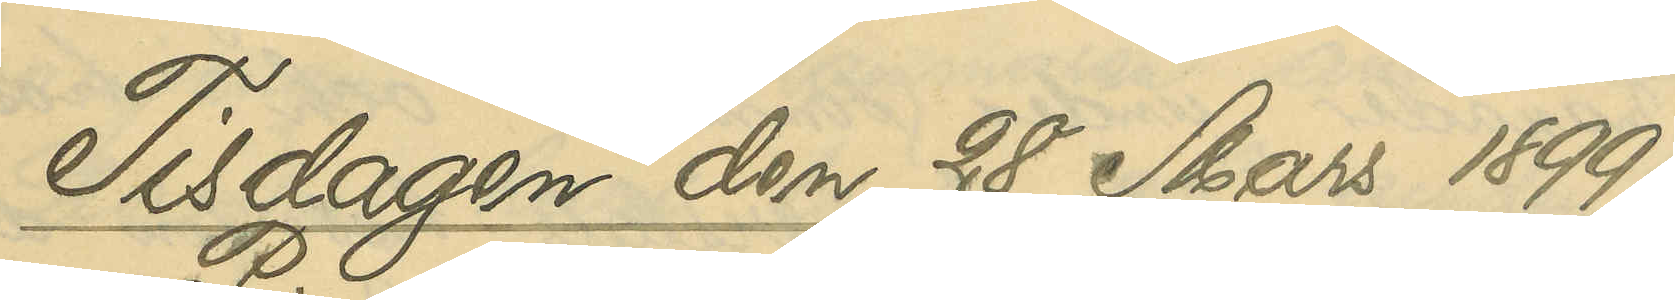Tisdagen den 28 Mars 1899.
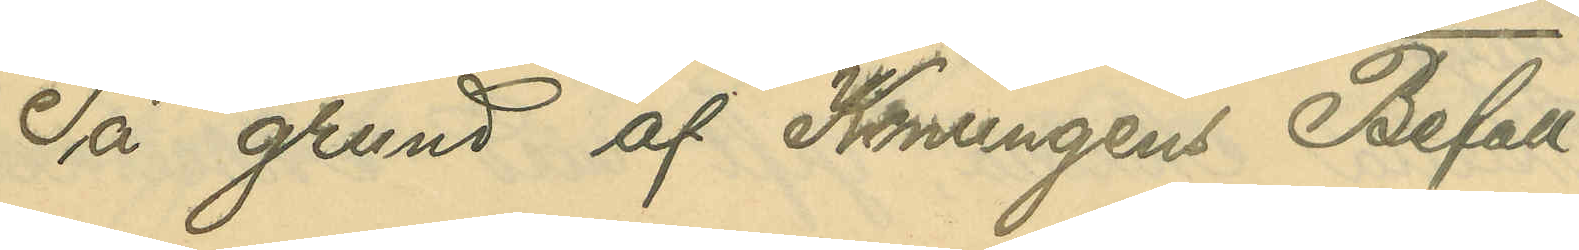På grund af Konungens Befall¬
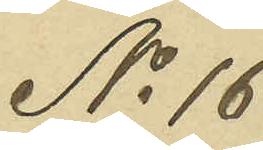No 16
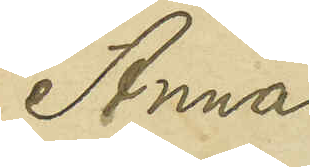Anna
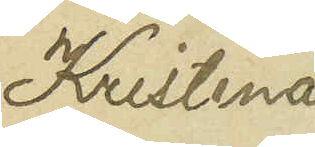Kristina
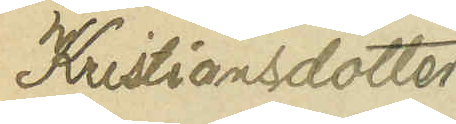Kristiansdotter
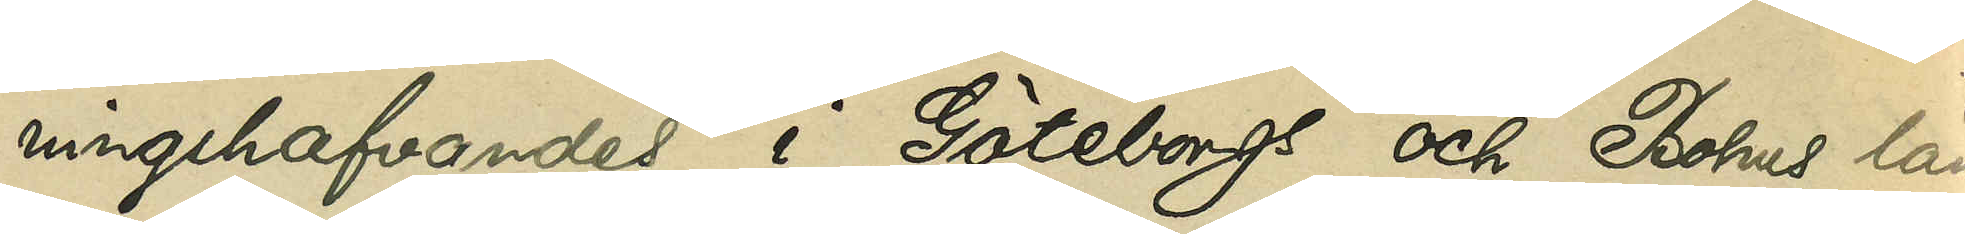ningshafvandes i Göteborgs och Bohus län
